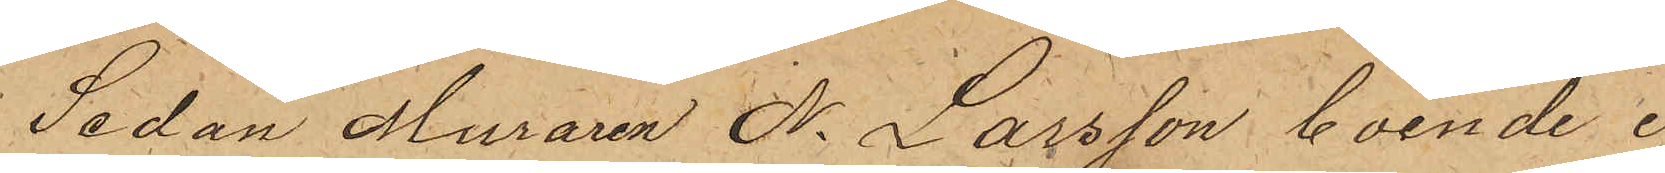Sedan Muraren N. Larsson boende i
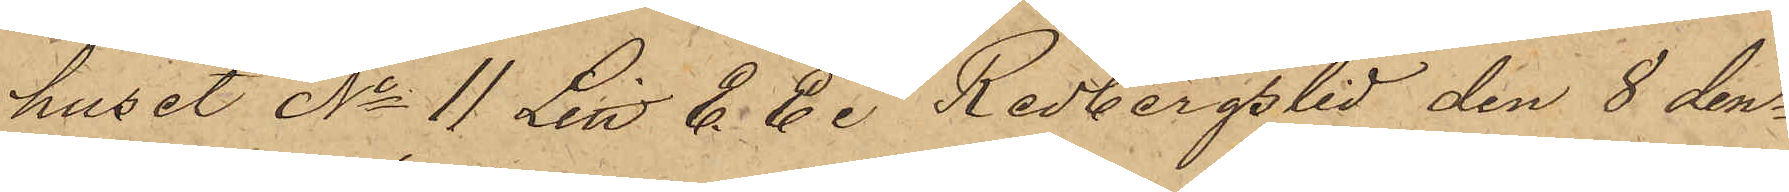huset No 11 Litt. E. E. i Redbergslid den 8 den¬
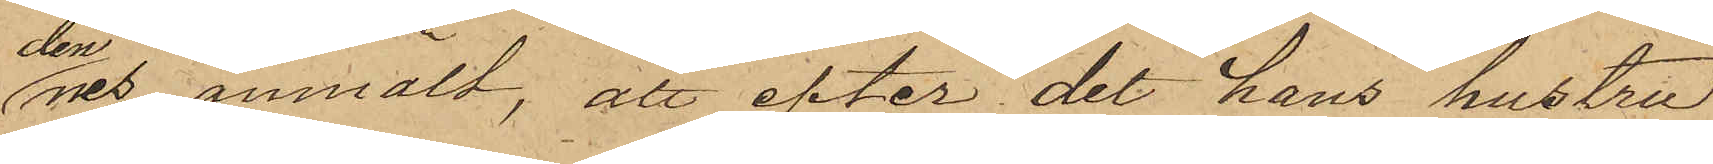dennes anmält, att efter det hans hustru
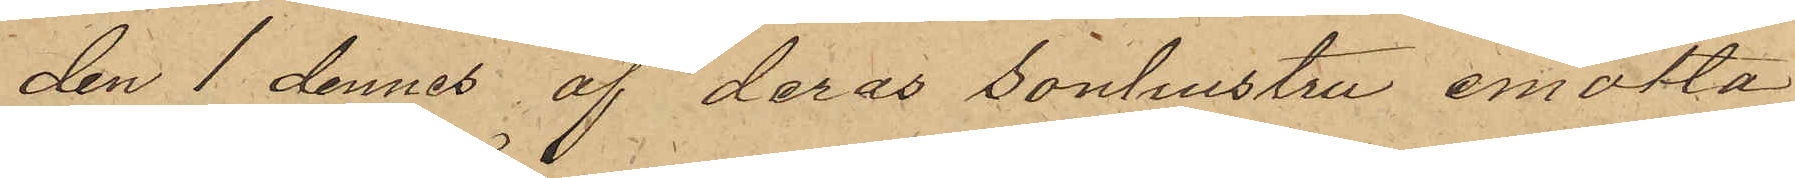den 1 dennes af deras sonhustru emotta¬
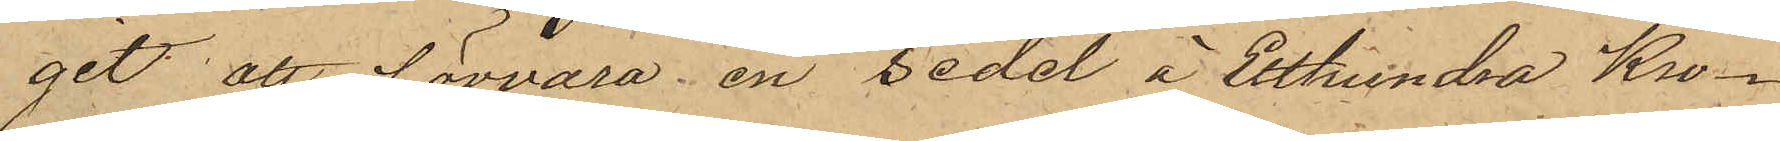git att förvara en sedel å Etthundra Kro¬
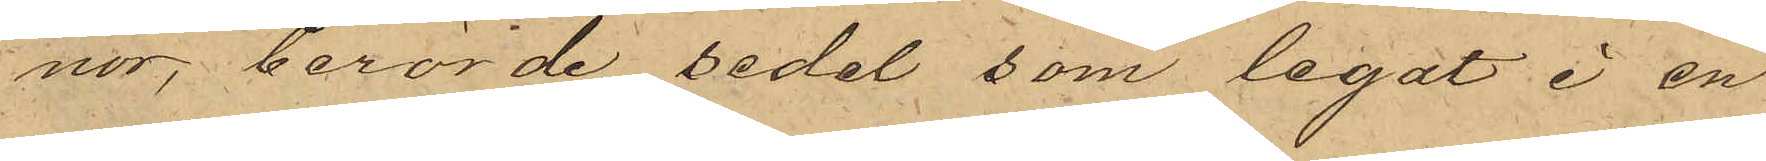nor, berörde sedel, som legat i en
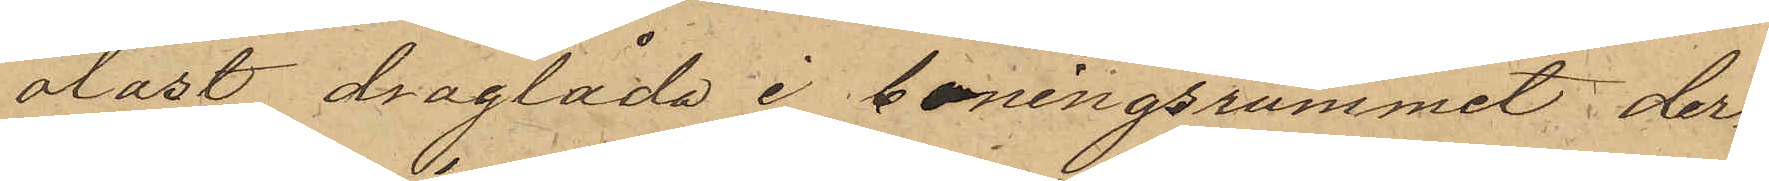olåst draglåda i boningsrummet, der¬
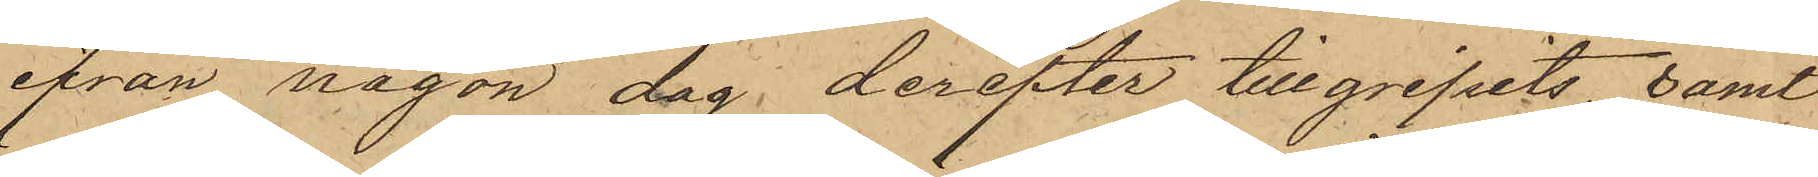ifrån någon dag derefter tillgripits, samt
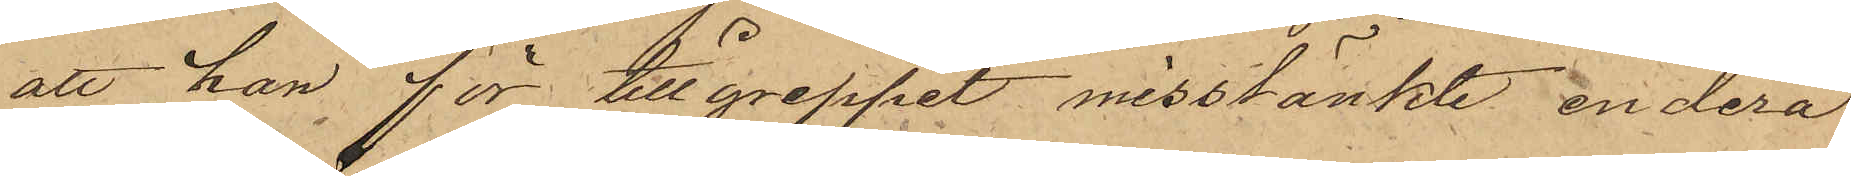att han för tillgreppet misstänkte endera
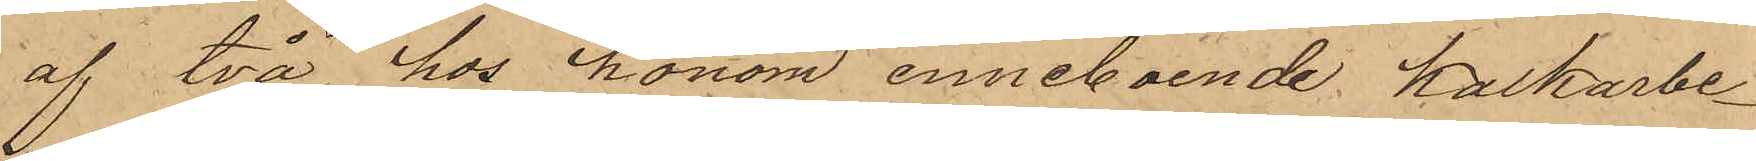af två hos honom inneboende Kalkarbe¬
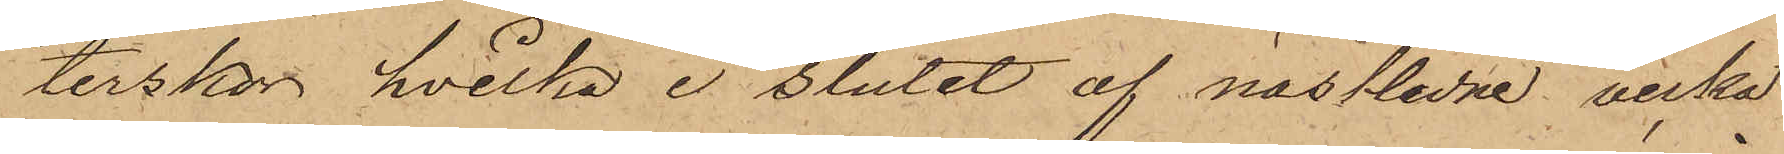terskor, hvilka i slutet af nästlidne vecka
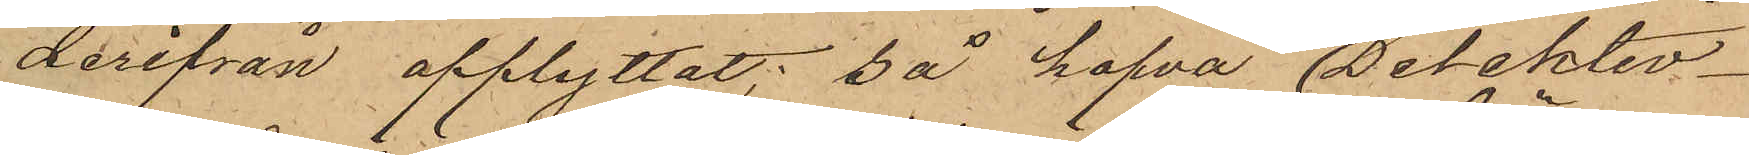derifrån afflyttat; så hafva Detektiv¬
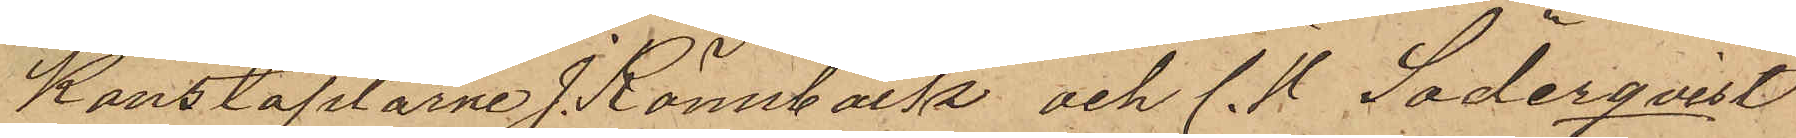Konstaplarne J. Rönnbäck och C. V Söderqvist
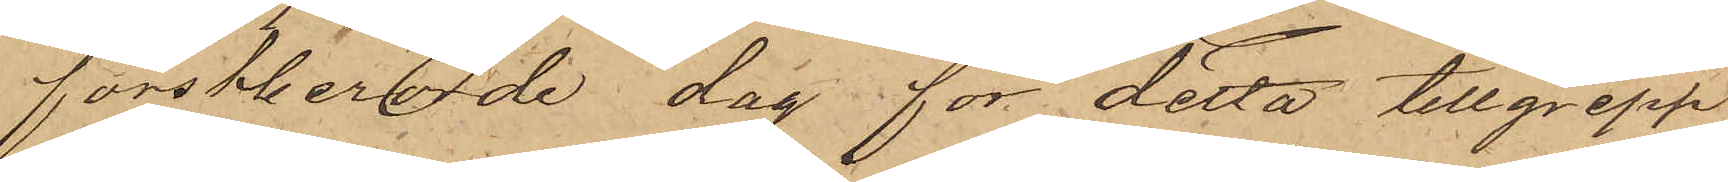förstberörde dag för detta tillgrepp
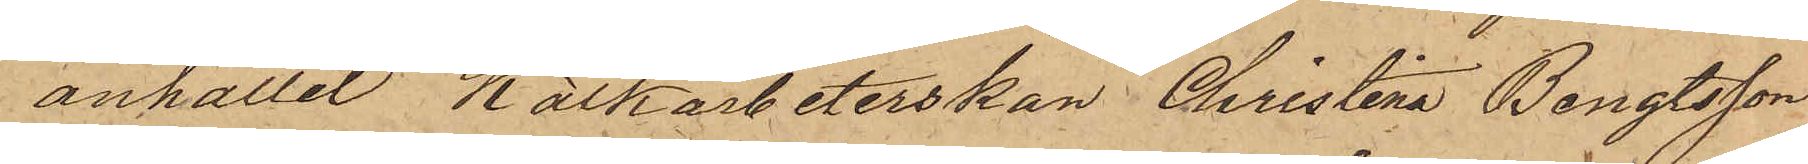anhållit Kalkarbeterskan Christina Bengtsson
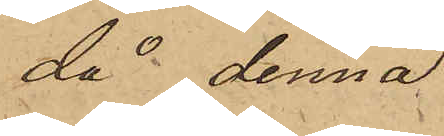då denna
